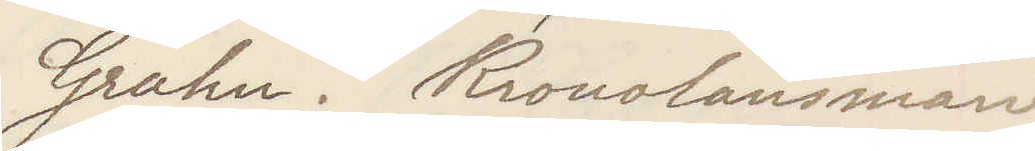Grahn. Kronolänsman
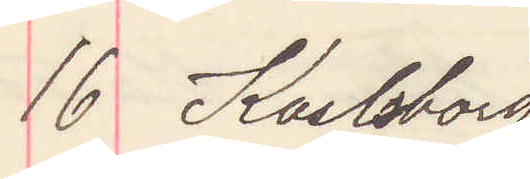16 Karlsborg
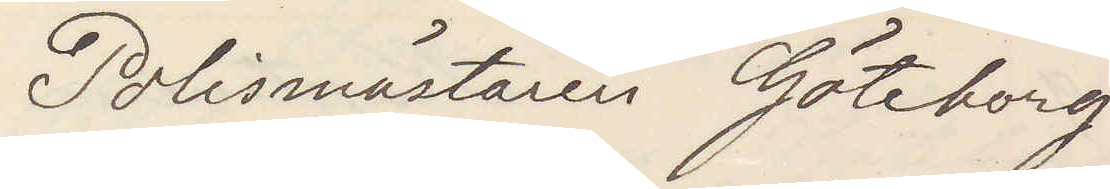Polismästaren Göteborg
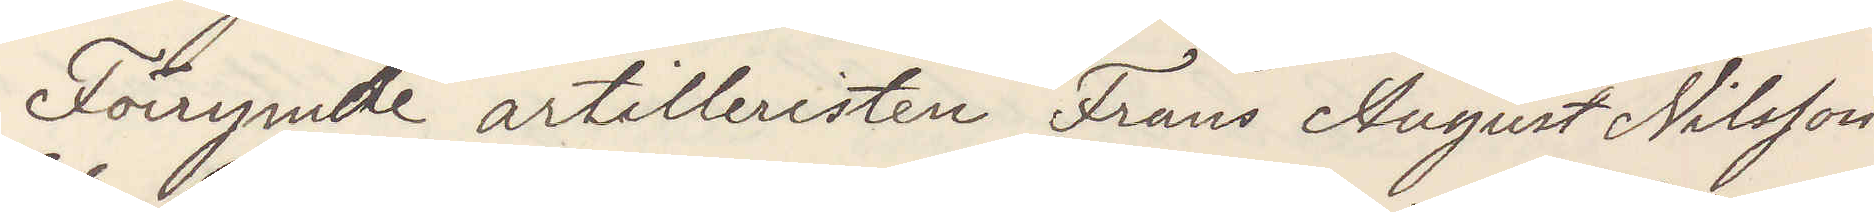Förrymde artilleristen Frans August Nilsson
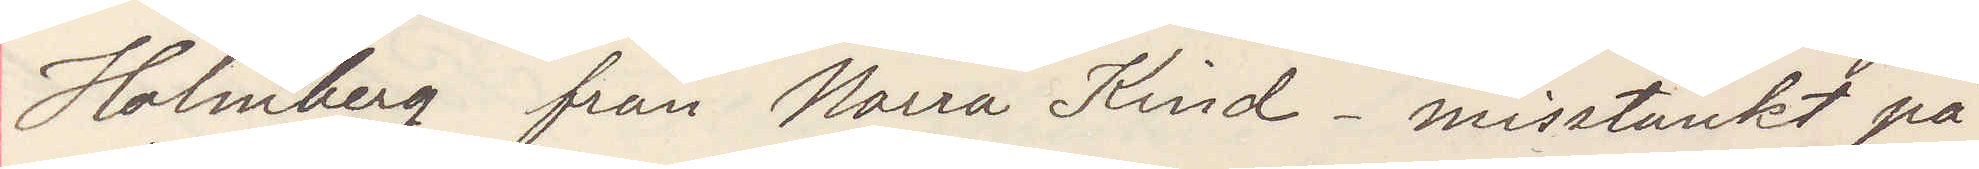Holmberg från Norra Kind. misstänkt på
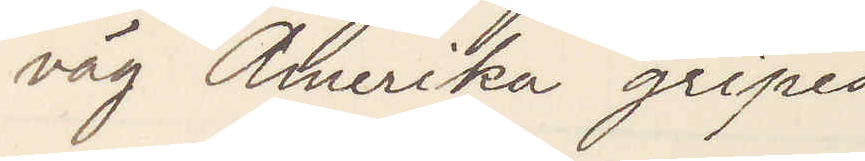väg Amerika gripes
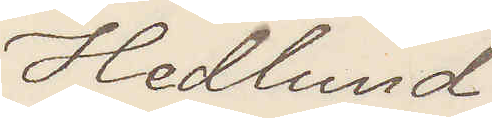Hedlund
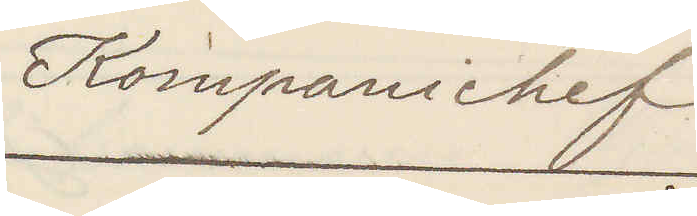Kompanichef
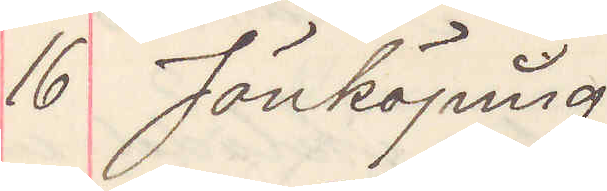16 Jönköping
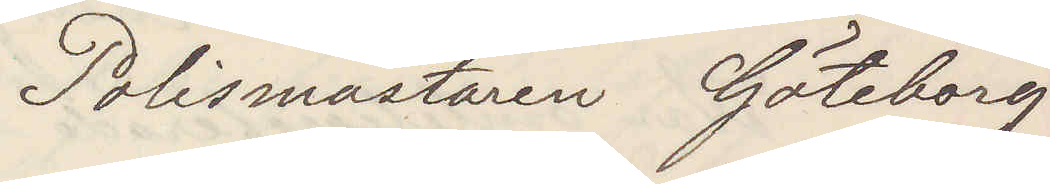Polismästaren Göteborg
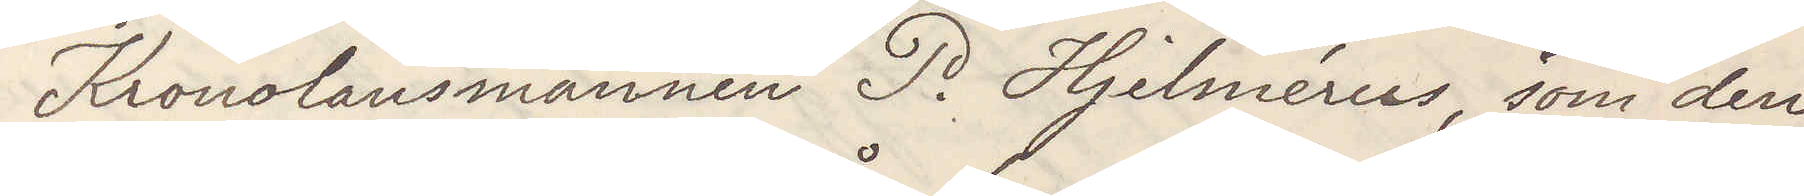Kronolänsmannen P. Hjemérus, som den
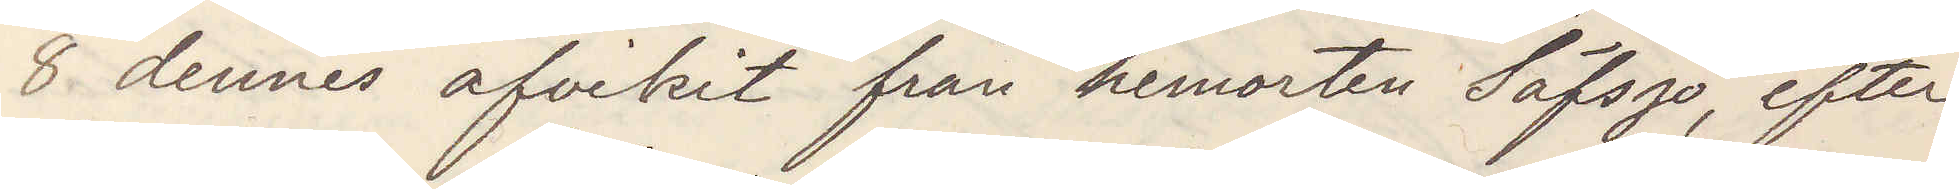8 dennes afvikit från hemorten Säfsjö, efter¬
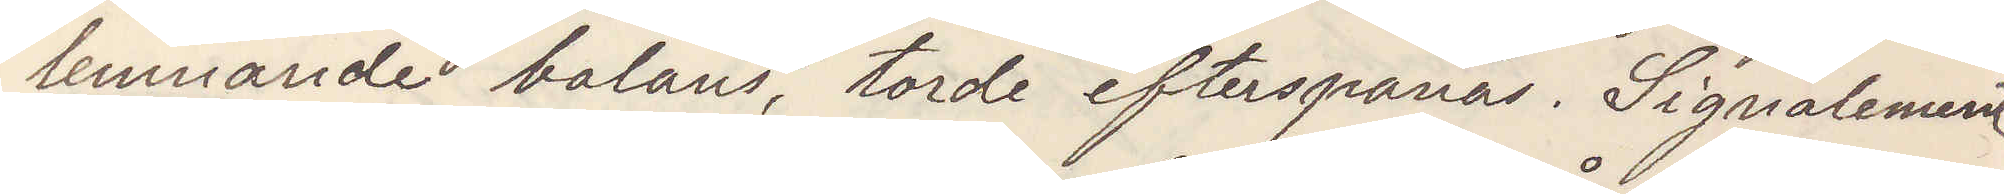lemnande balans, torde efterspanas. Signalement
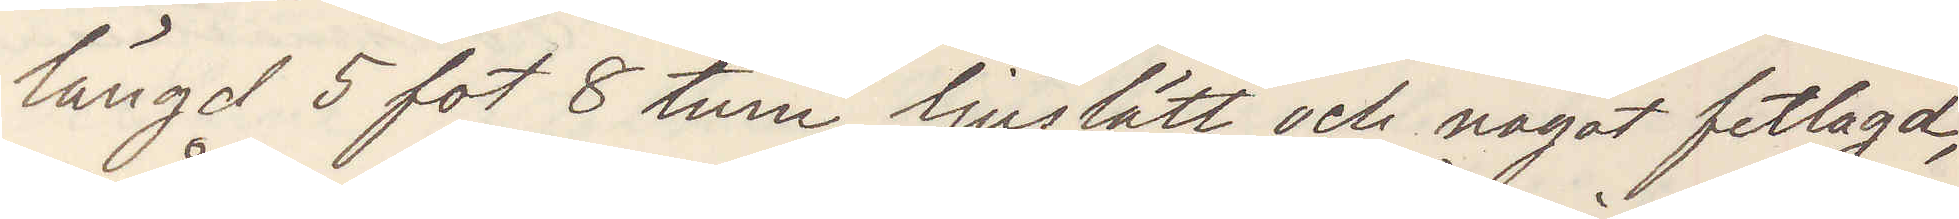längd 5 fot 8 tum, ljuslätt och något fetlagd,
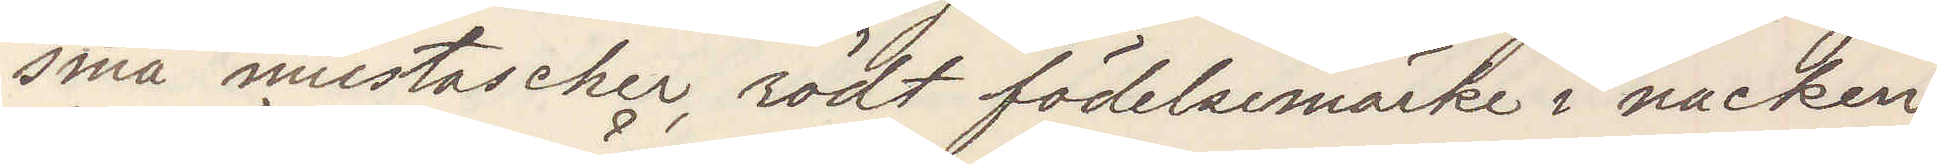små mustascher, rödt födelsemärke i nacken,
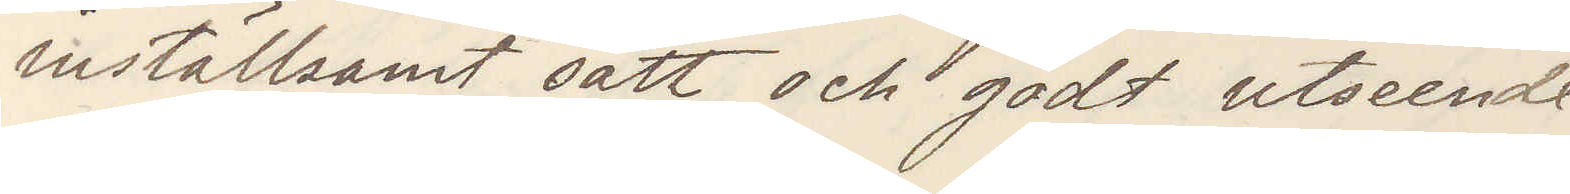inställsamt sätt och godt utseende.
